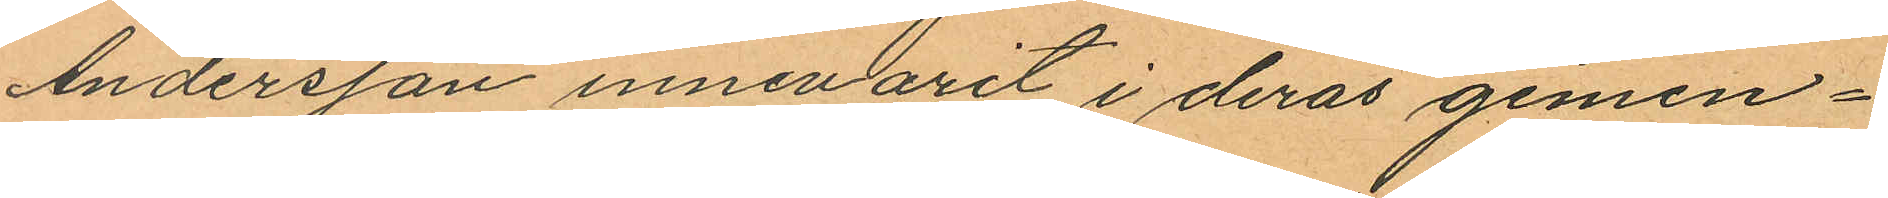Andersson innevarit i deras gemen¬
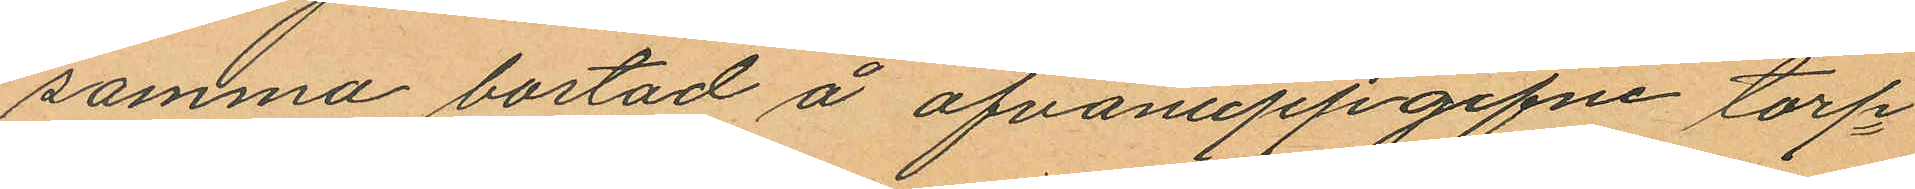samma bostad å ofvanuppgifne torp¬
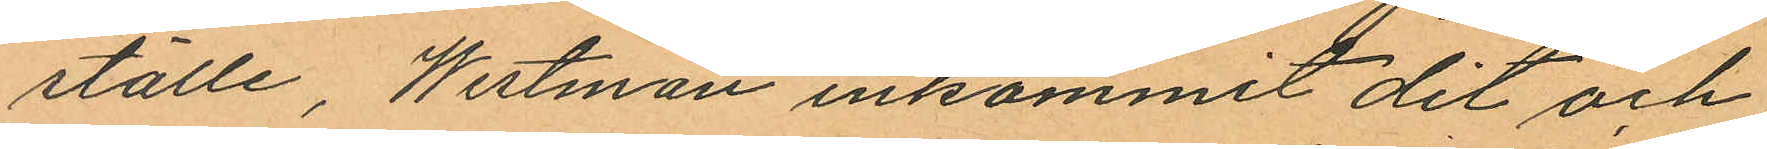ställe, Westman inkommit dit och
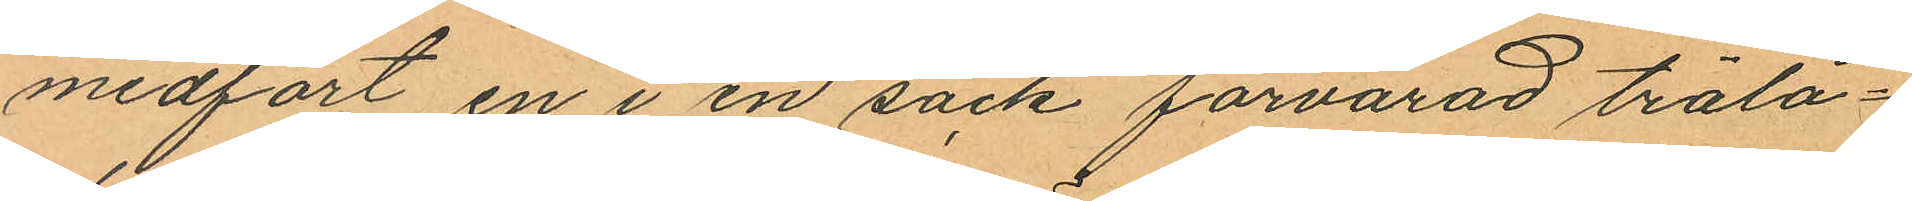medfört en i en säck förvarad trälå¬
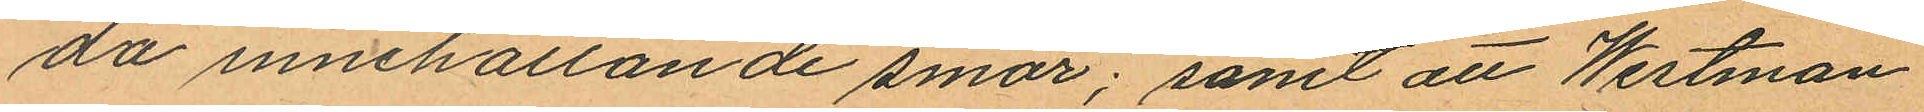da innehållande smör; samt att Westman
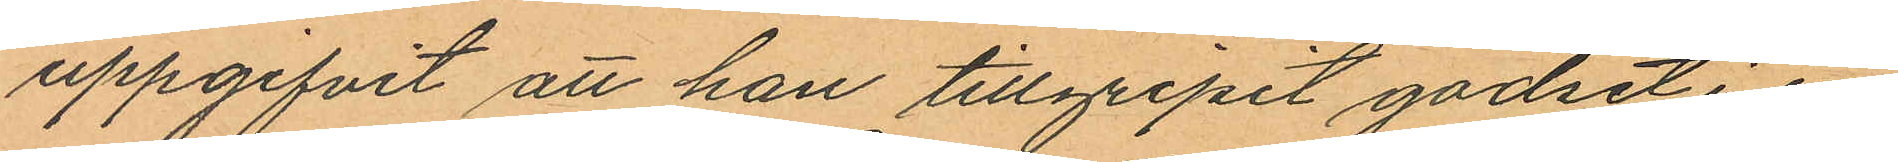uppgifvit att han tillgripit godset i en
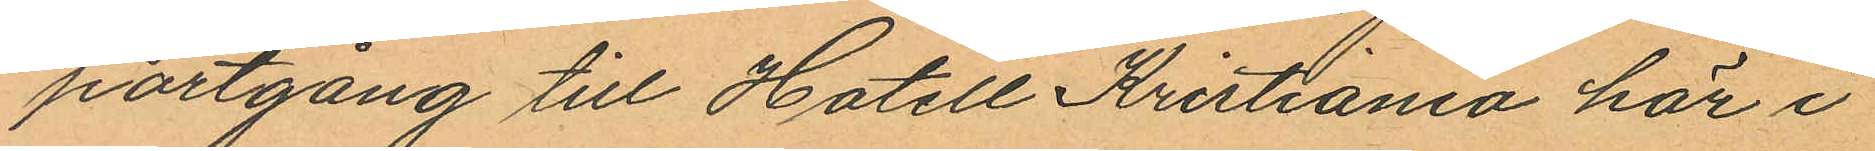portgång till Hotell Kristiania här i
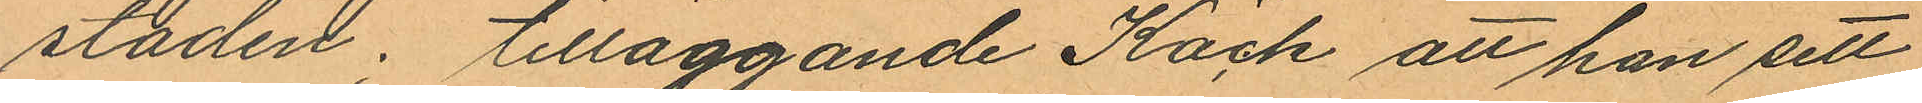staden; tilläggande Käck att han sett
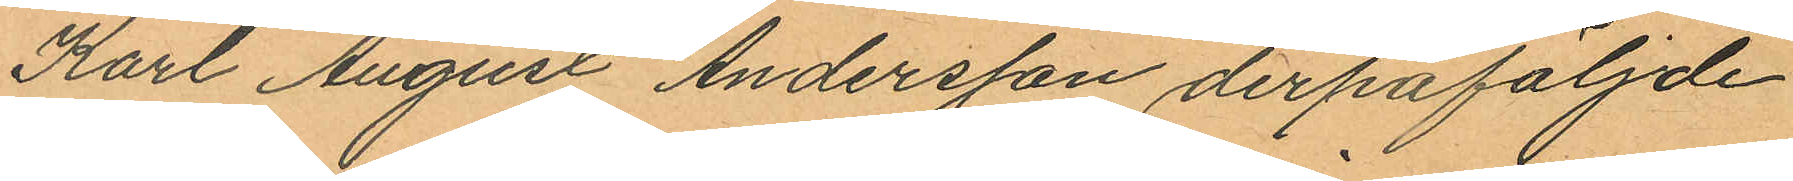Karl August Andersson derpåföljde
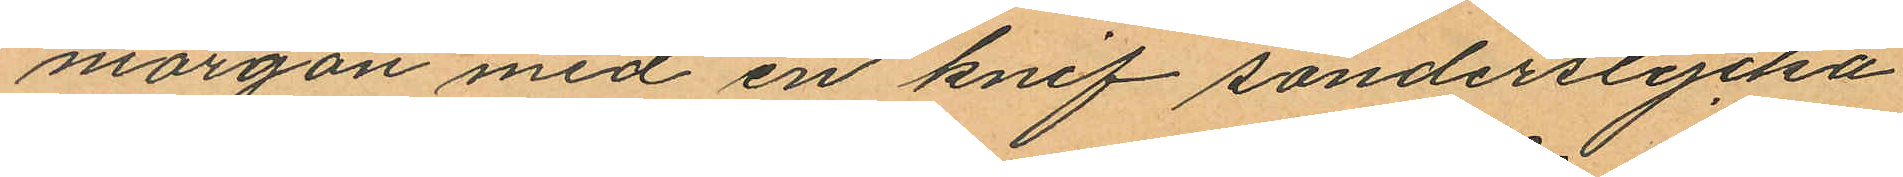morgon med en knif sönderstycka
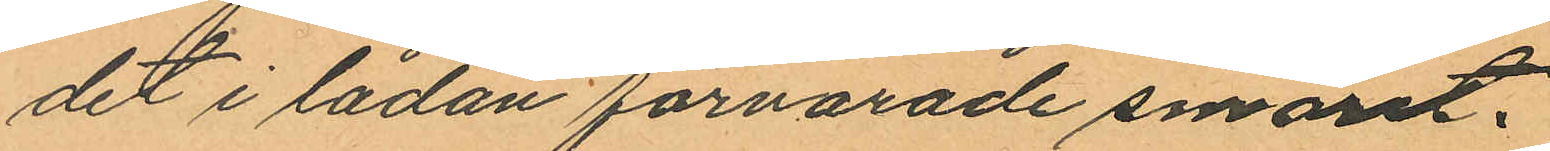det i lådan förvarade smöret.
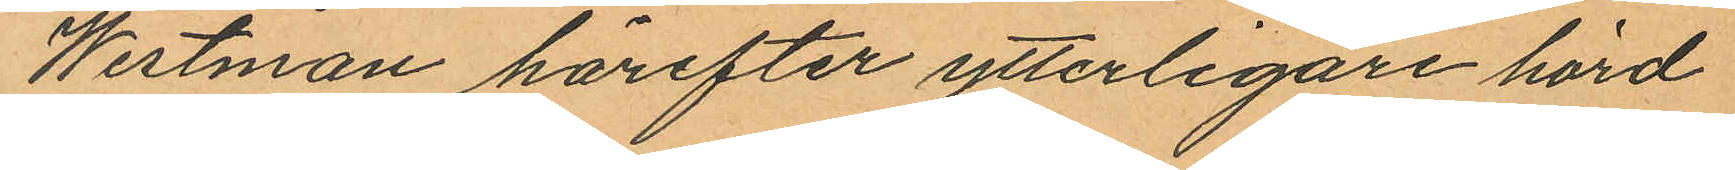Westman härefter ytterligare hörd
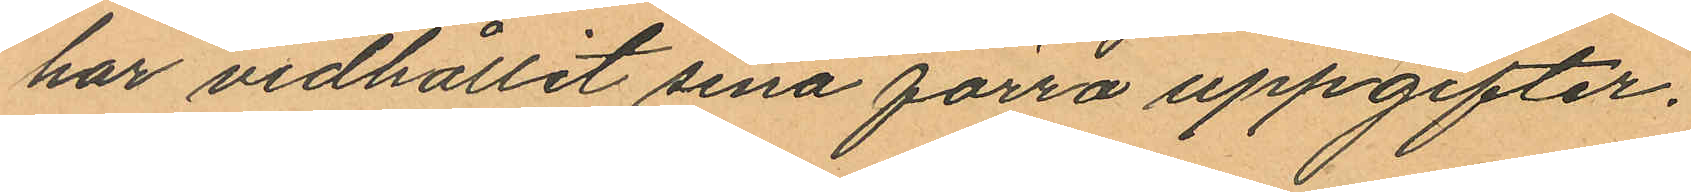har vidhållit sina förra uppgifter.
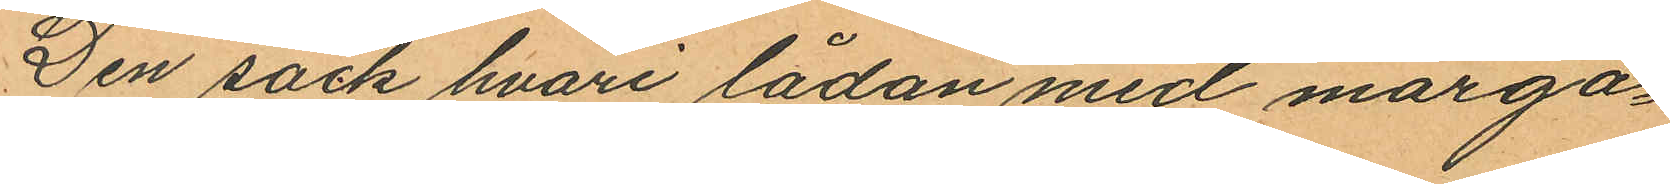Den säck hvari lådan med marga¬
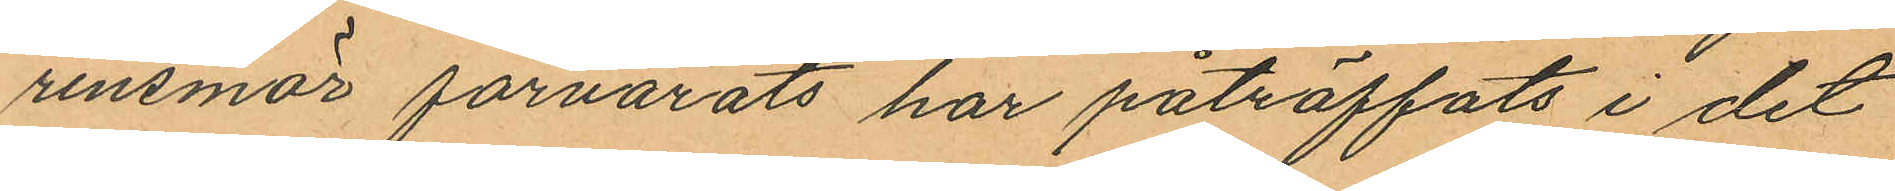rinsmör förvarats har påträffats i det
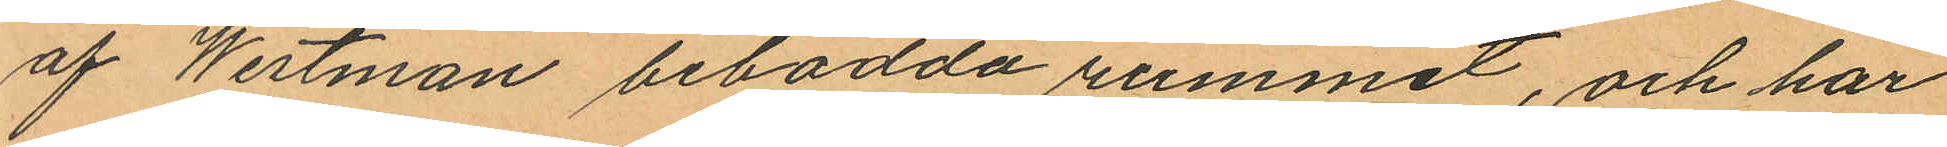af Westman bebodda rummet, och har
